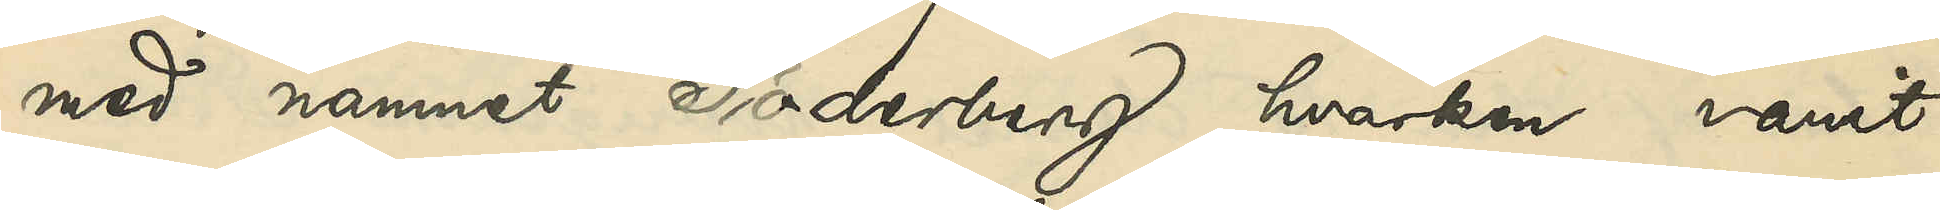med namnet Söderberg hvarken varit
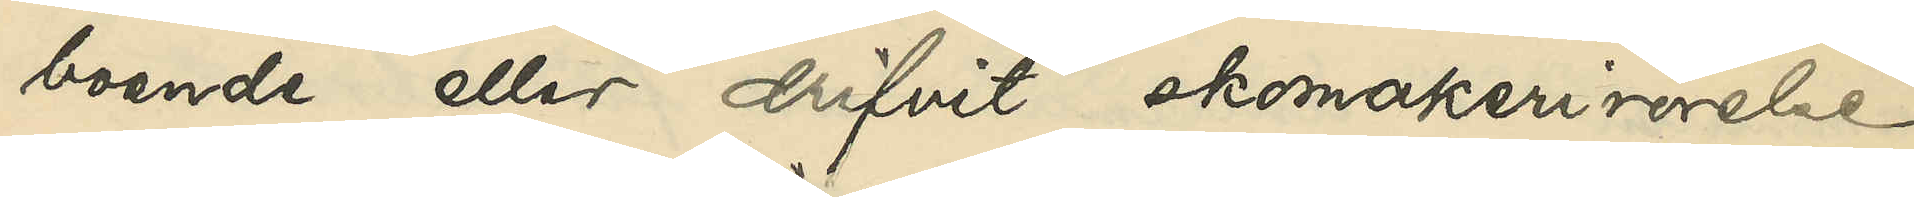boende eller drifvit skomakerirörelse
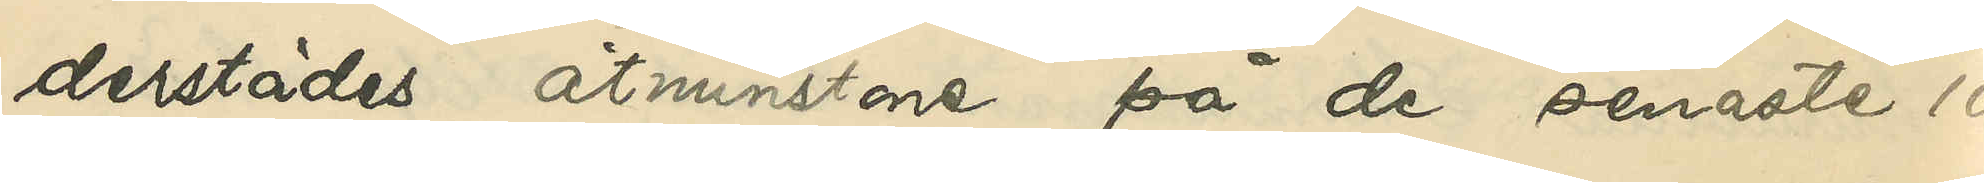derstädes åtminstone på de senaste 10
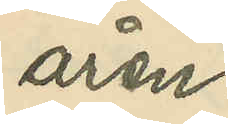åren.
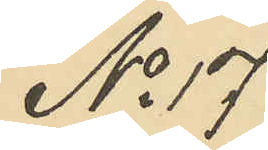No 17
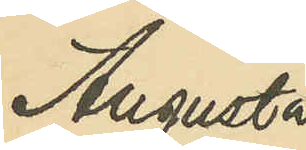Augusta
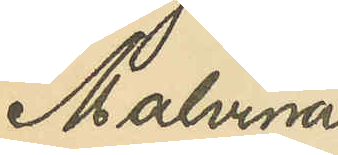Malvina
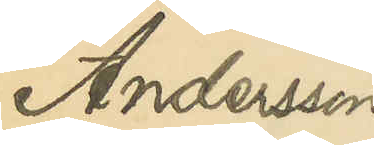Andersson
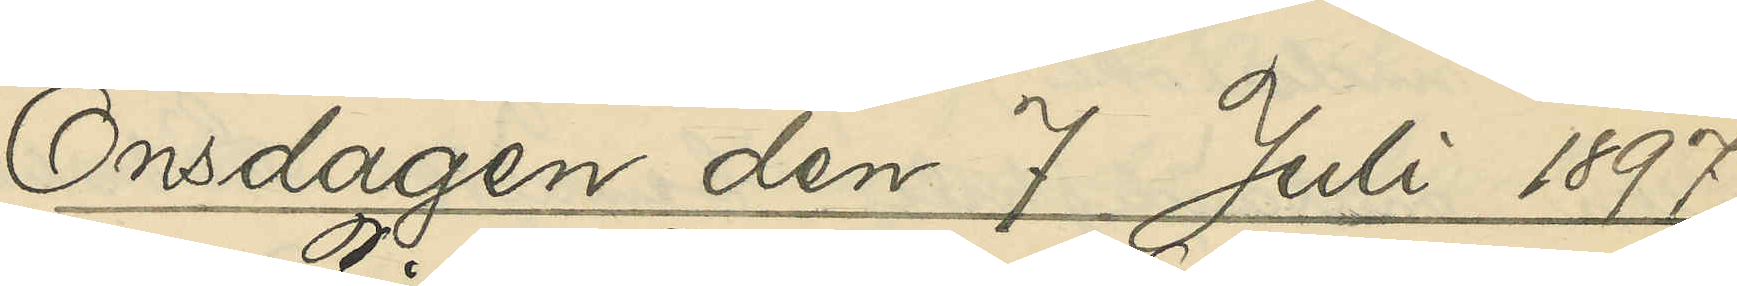Onsdagen den 7 Juli 1897.
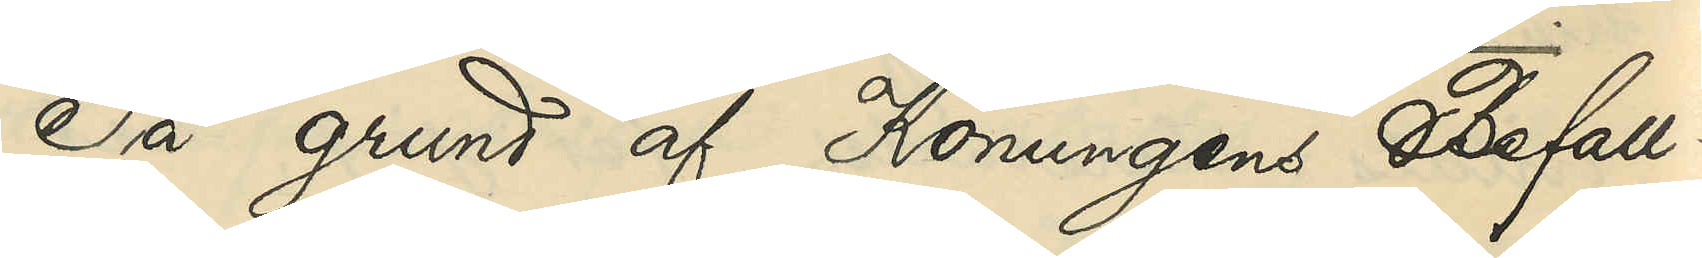På grund af Konungens Befall¬
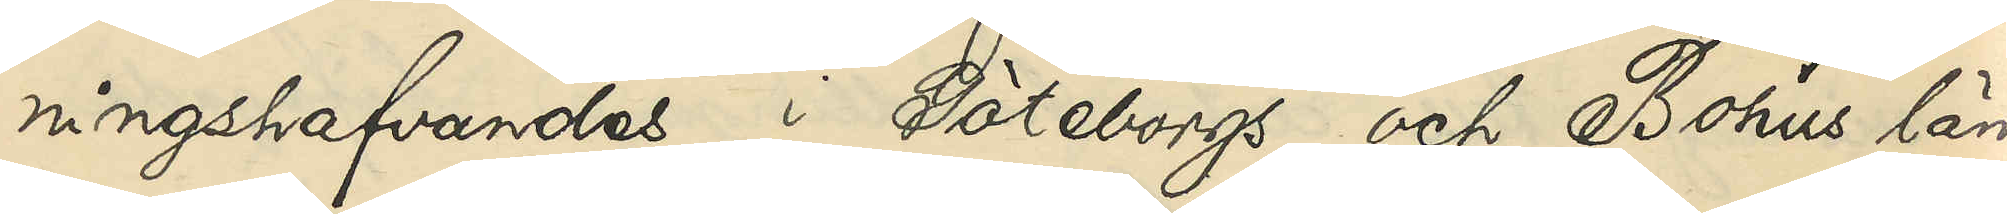ningshafvandes i Göteborgs och Bohus län
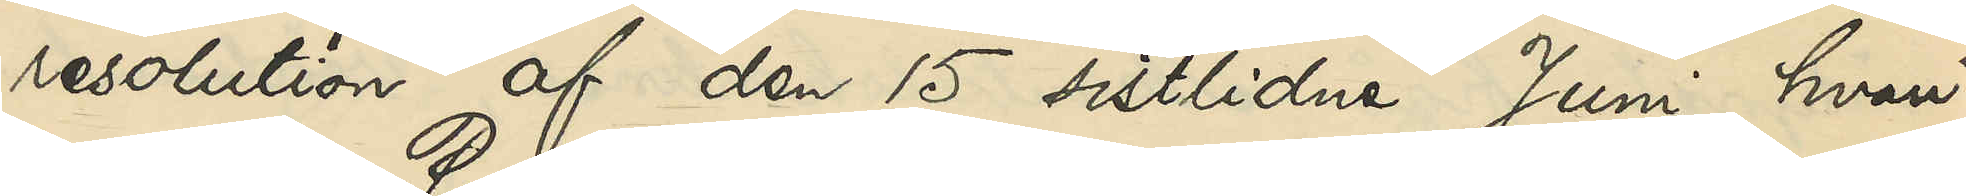resolution af den 15 sistlidne Juni hvari¬
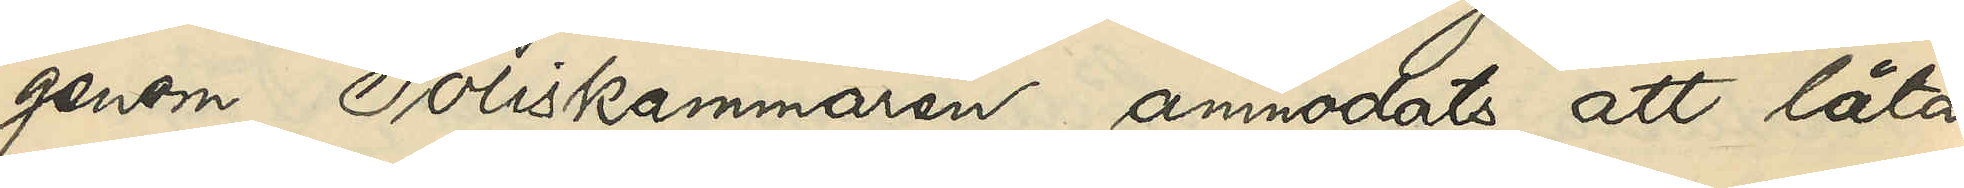genom Poliskammaren anmodats att låta
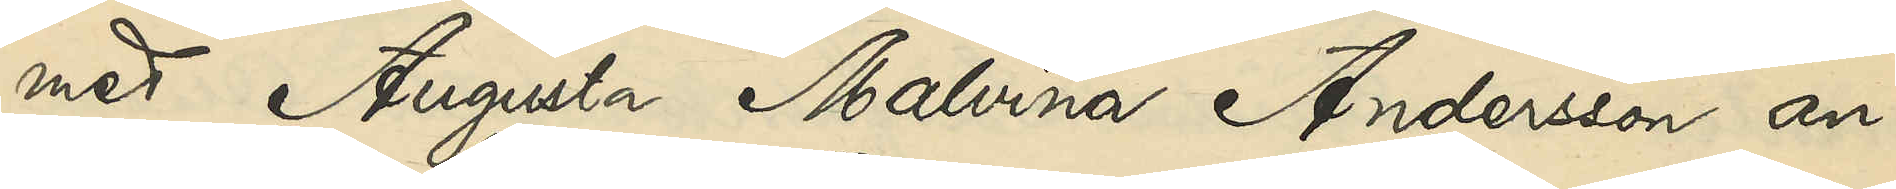med Augusta Malvina Andersson an¬
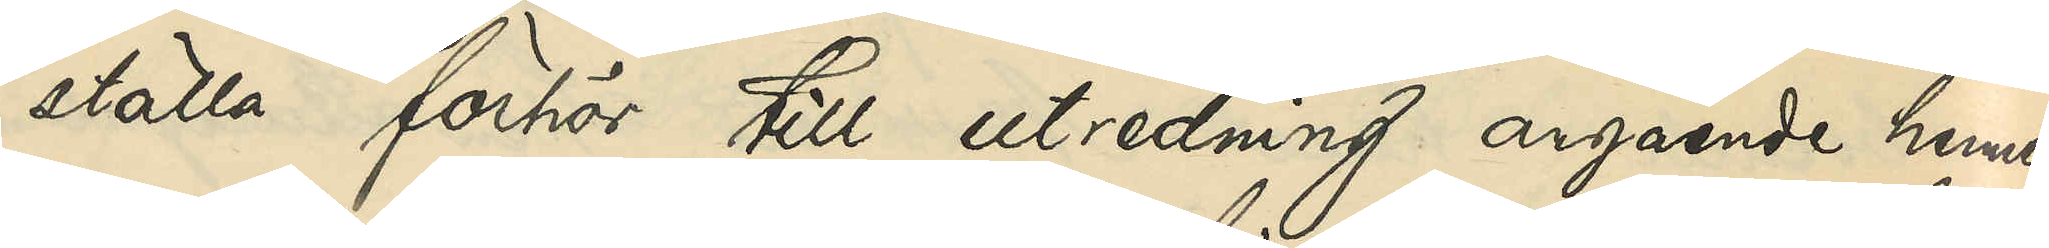ställa förhör till utredning angående hennes
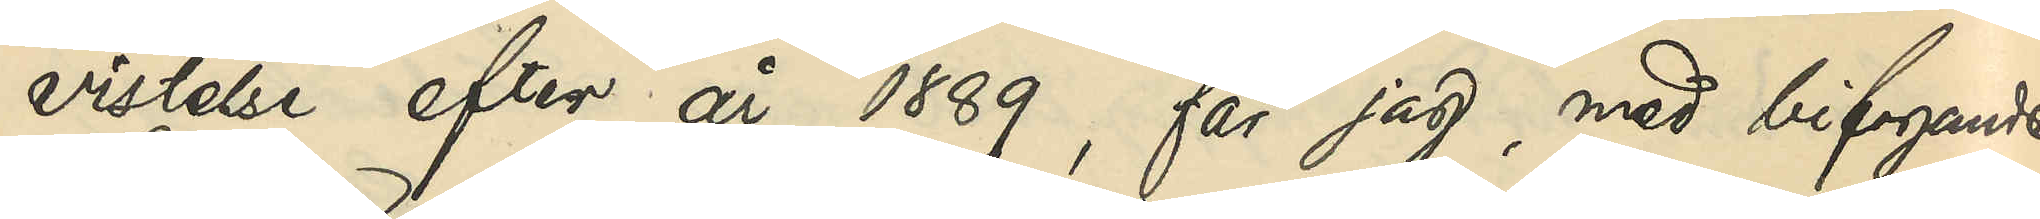vistelse efter år 1889, får jag, med bifogande
